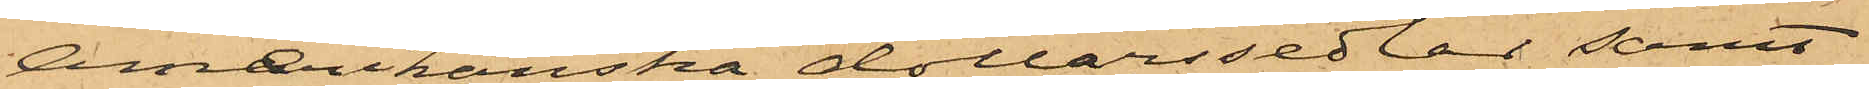Amerikanska dollarssedlar samt
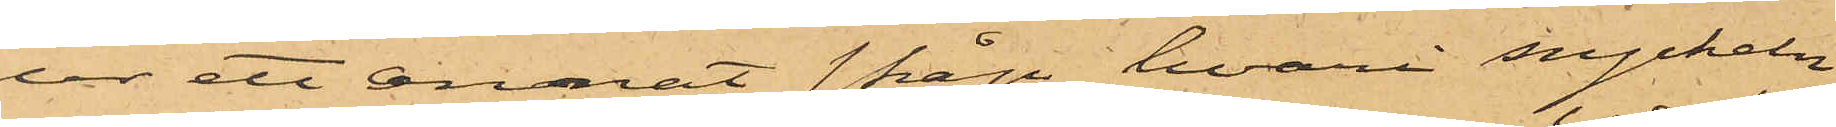ur ett annat skåp, hvari nyckeln
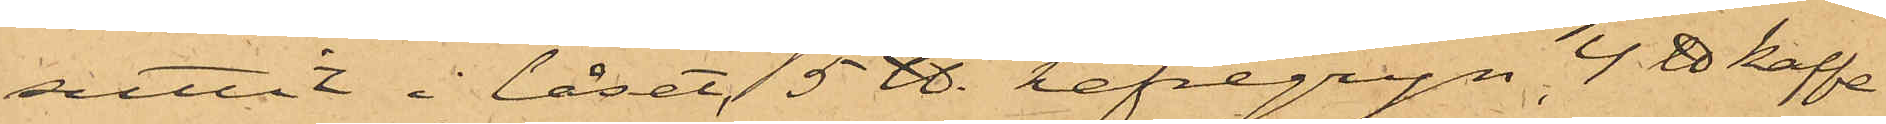suttit i låset, 5 ℔. hafregryn 4 ℔ kaffe
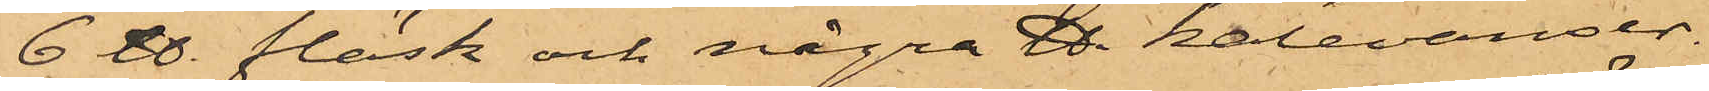6 ℔. fläsk och några ℔ kalevanser.
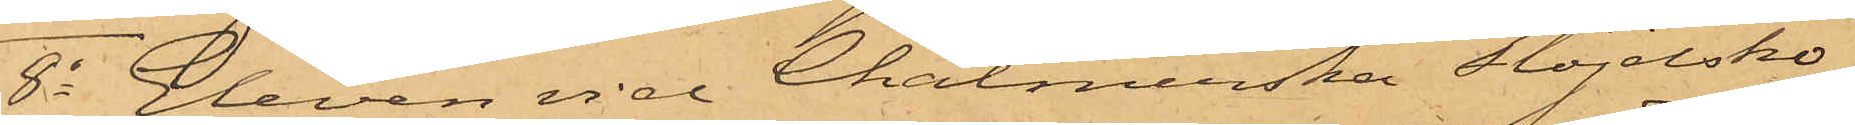8o Eleven vid Chalmerska Slöjdsko¬
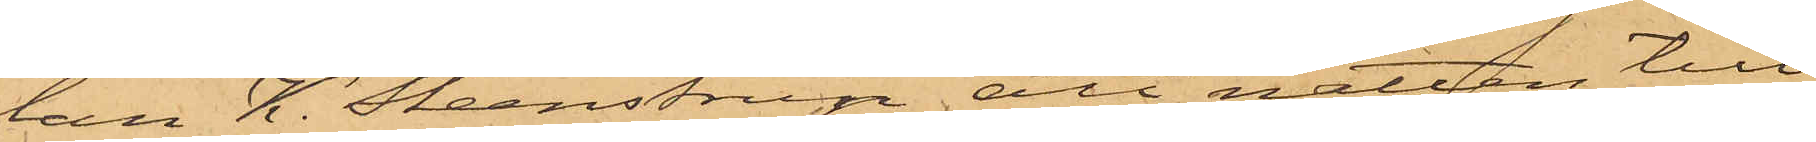lan H. Steenstrup att natten till
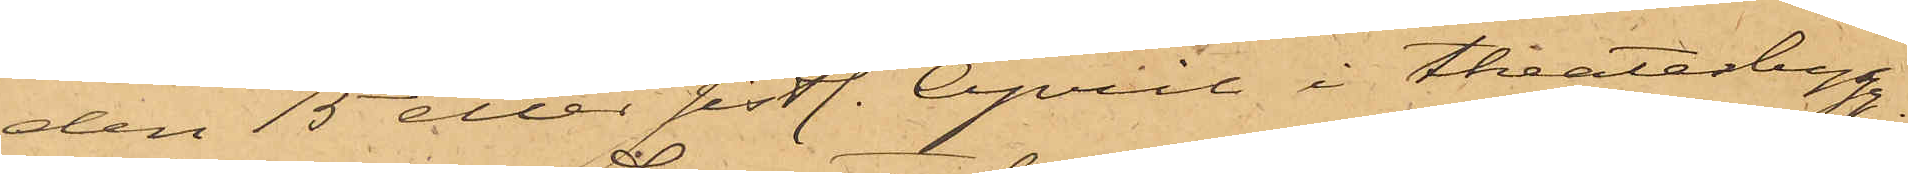den 15 eller sistl. April i Theaterbyg¬
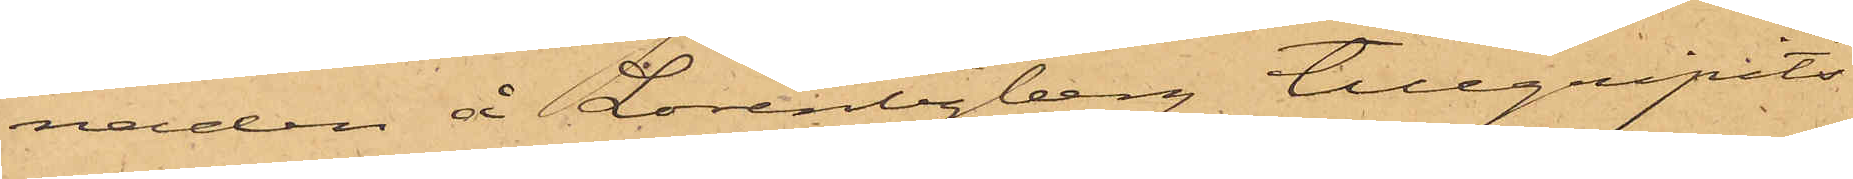naden å Lorentzberg tillgripits
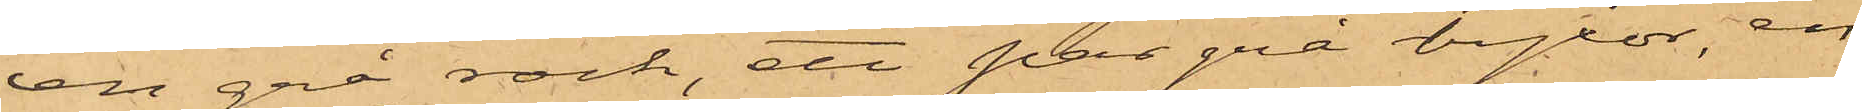len grå rock, ett par grå byxor, en
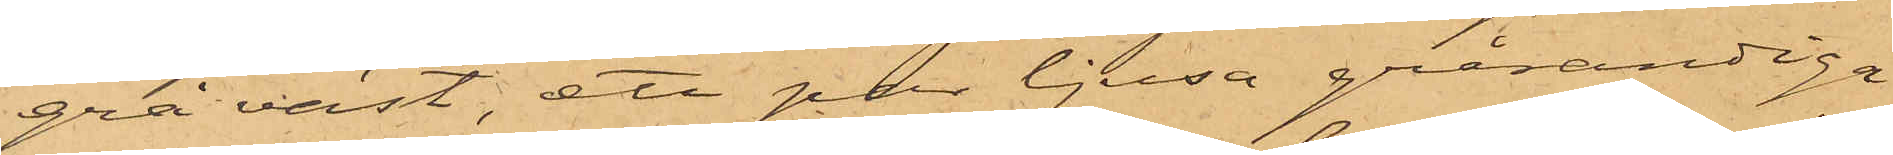grå väst, ett par ljusa grårandiga
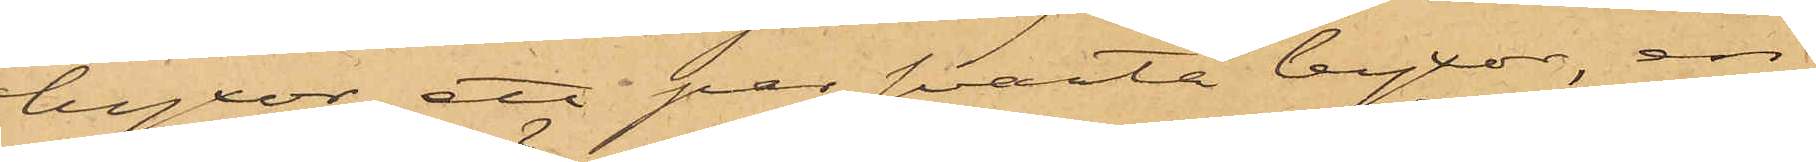byxor, ett par svarta byxor, en
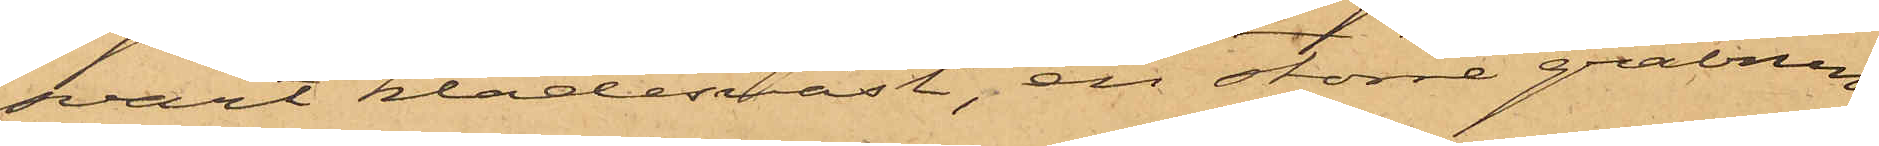svart klädesväst, en större gråbrun
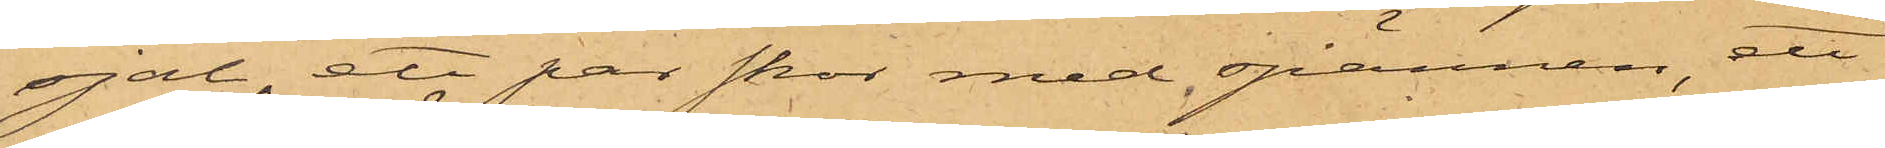sjal, ett par skor med spännen, ett
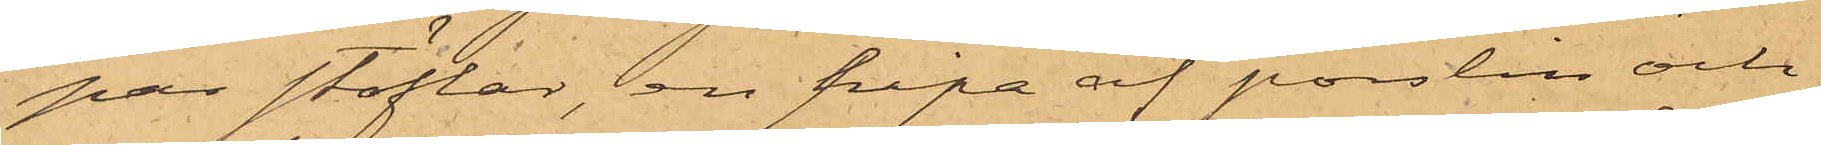par stöflar, en pipa af porslin och
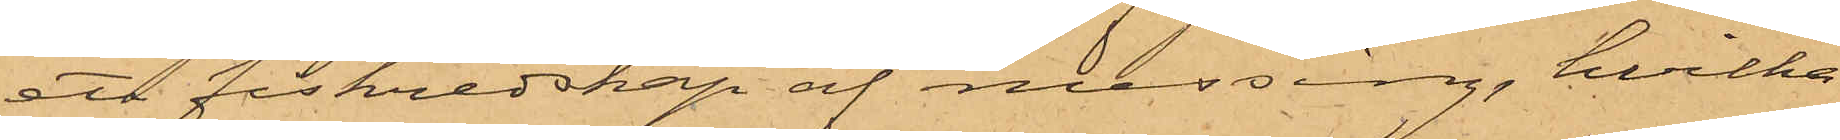ett fiskredskap af messing, hvilka
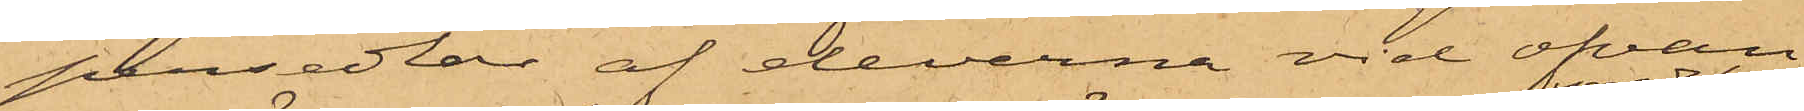persedlar af eleverna vid ofvan¬
